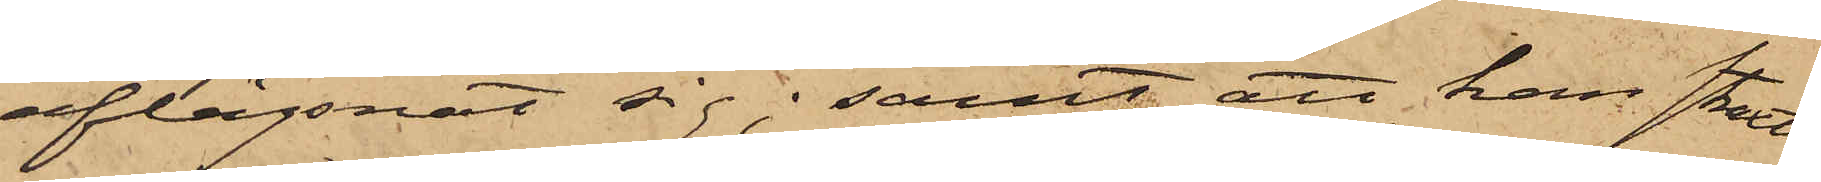aflägsnat sig; samt att han straxt
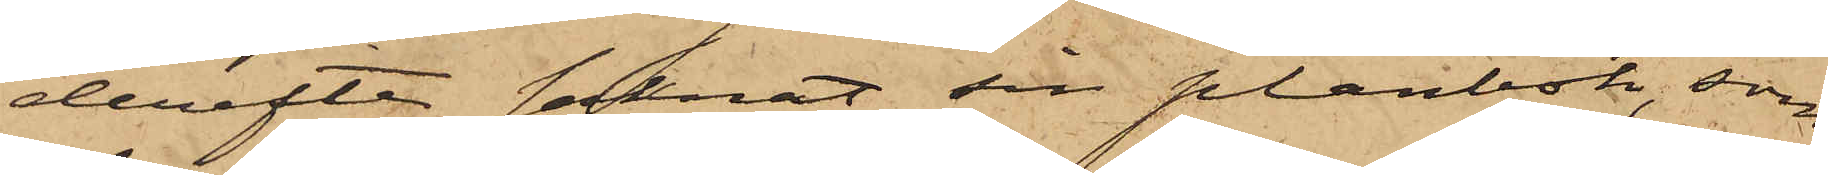derefter saknat sin plånbok, som
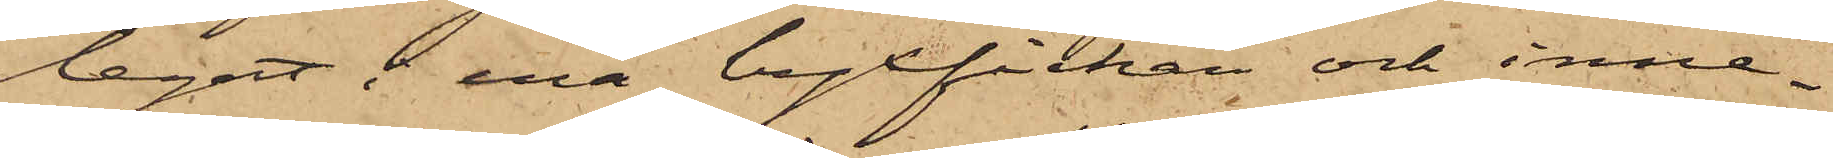legat i ena byxfickan och inne¬
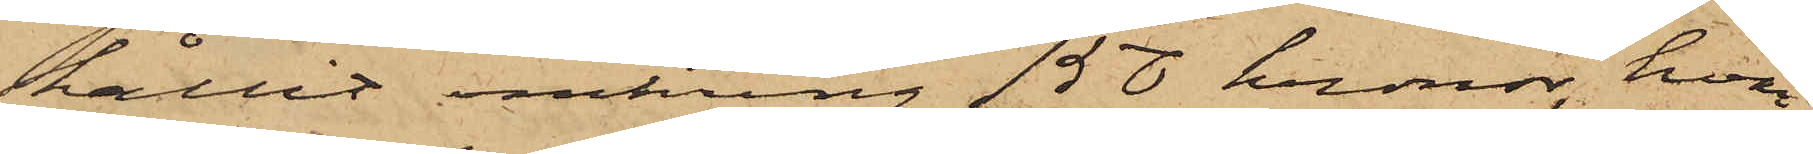hållit omkring 150 kronor, hvar¬
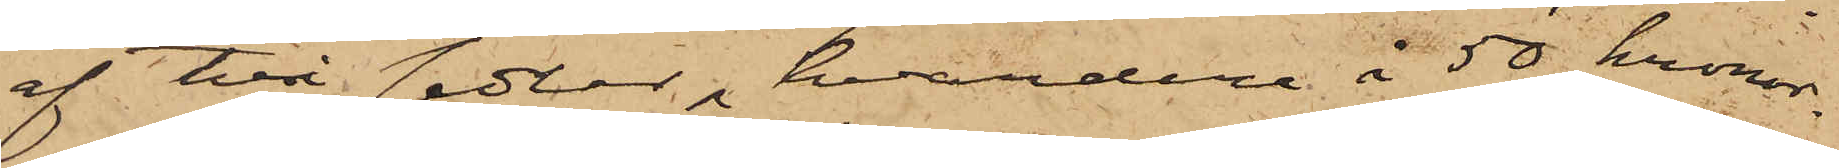af två sedlar, hvardera å 50 kronor.
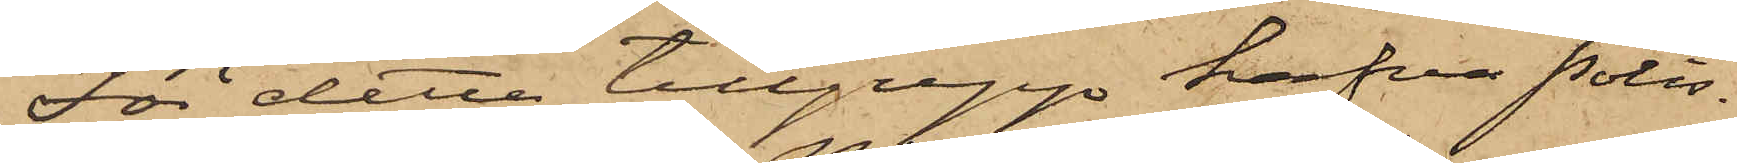För detta tillgrepp hafva Polis¬
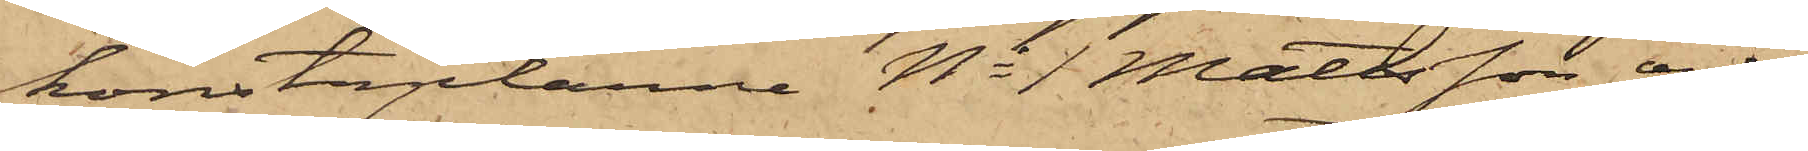konstaplarne No 1 Mattsson och
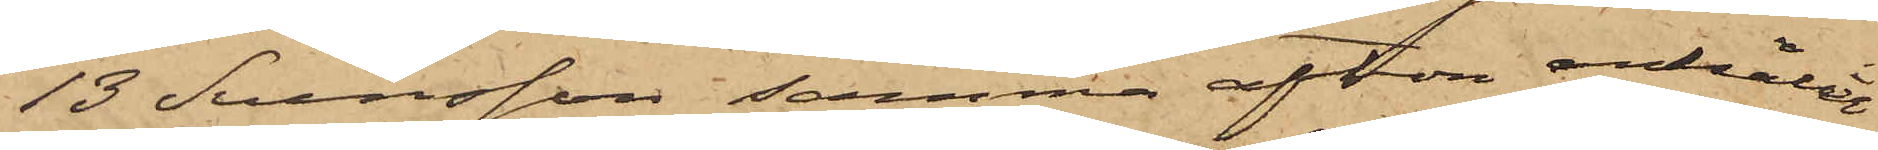13 Svensson samma afton anhållit
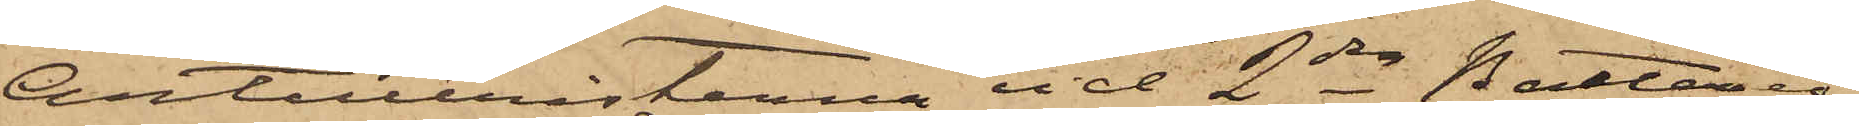Artilleristerna vid 2dra Batteriet
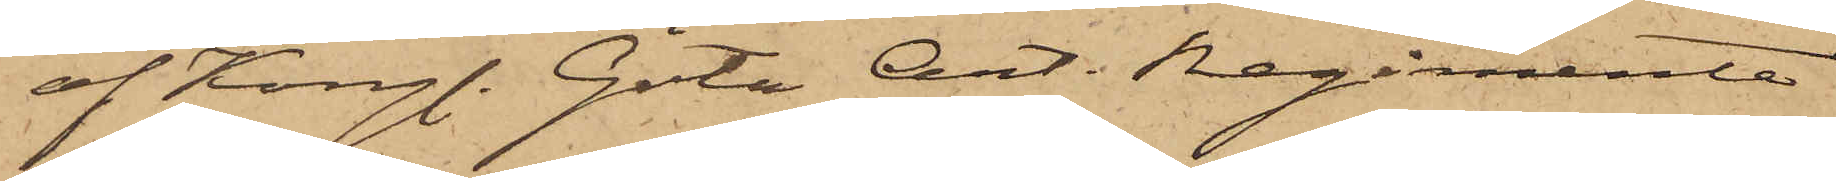af Kongl. Göta Art. Regimente
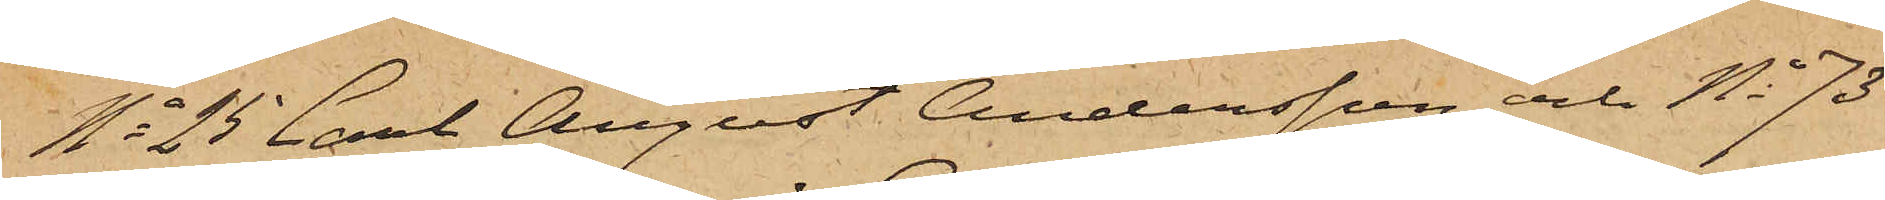No 25 Carl August Andersson och No 73
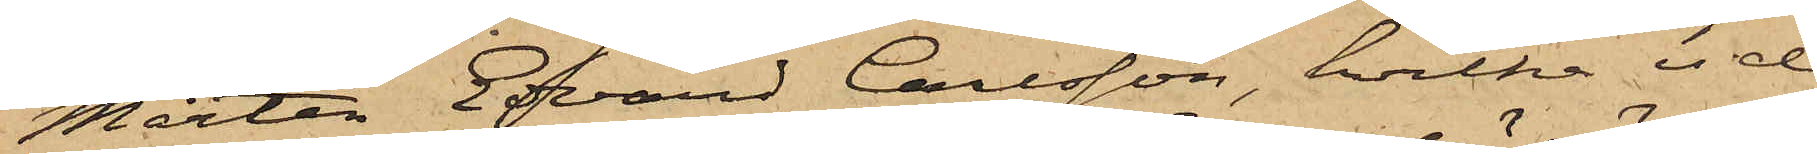Mårten Edvard Carlsson, hvilka vid
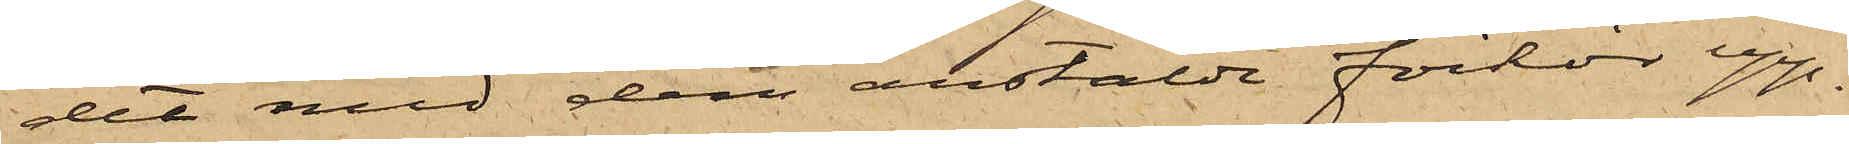det med dem anstälde förhör upp¬
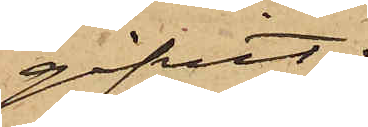gifvit:
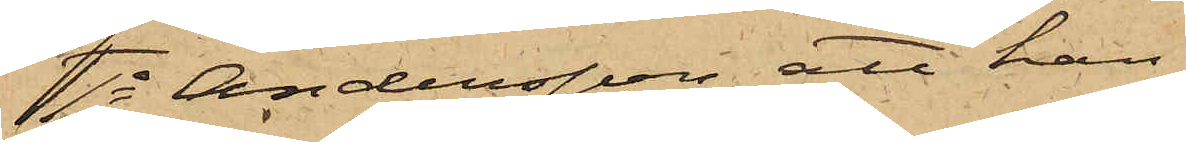1o Andersson att han
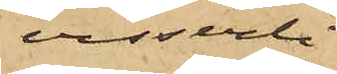visserli¬
